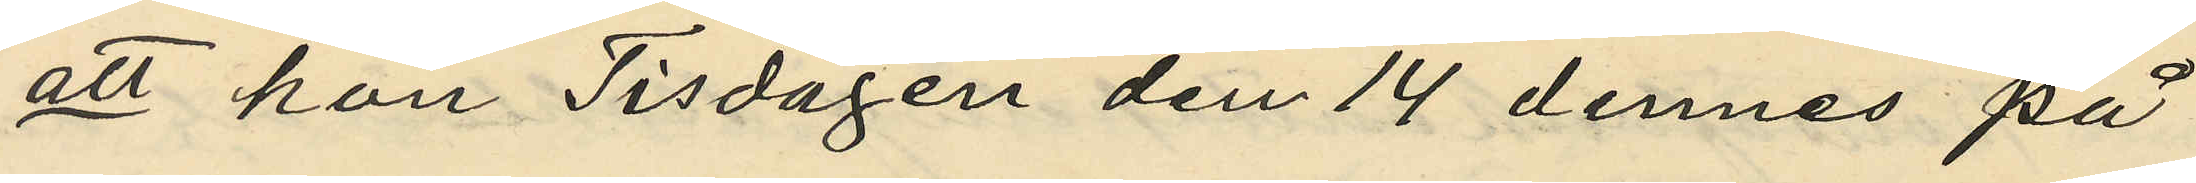att hon Tisdagen den 14 dennes på
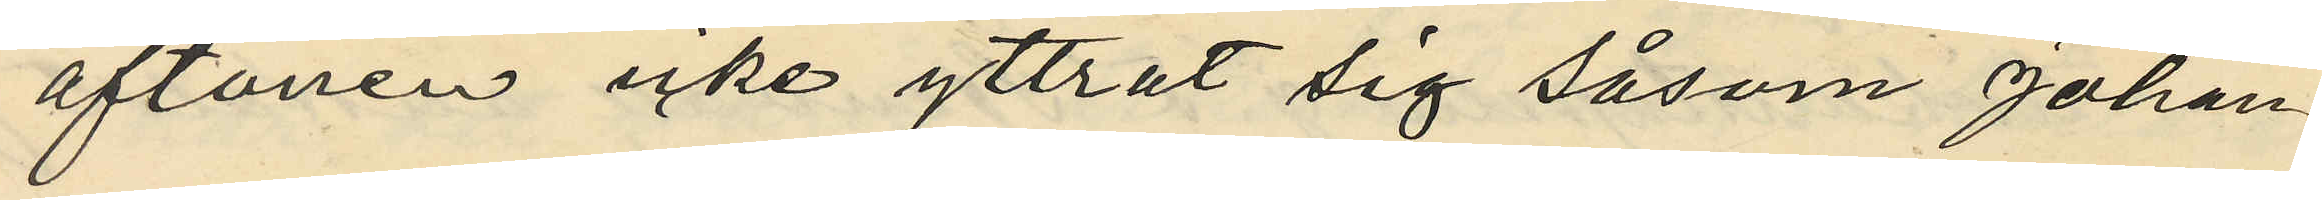aftonen icke yttrat sig såsom Johan¬
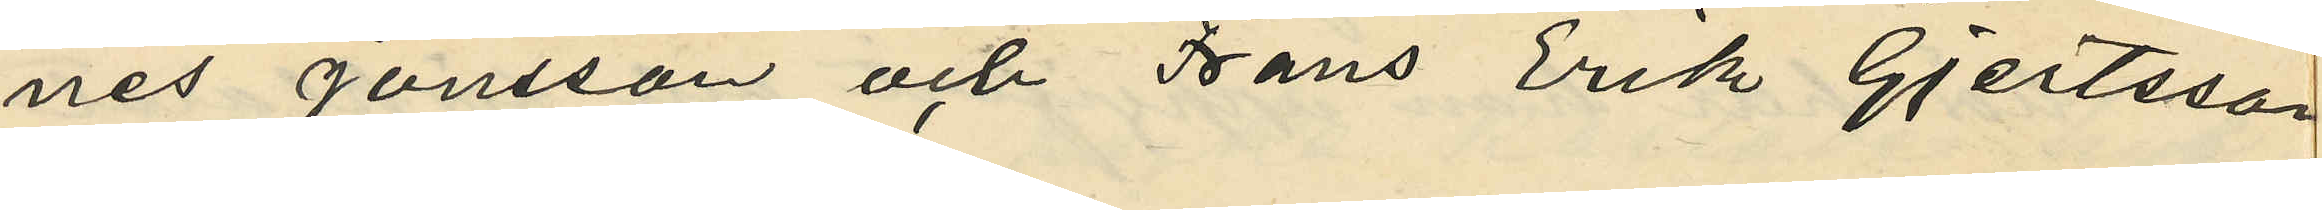nes Jonsson och Frans Erik Gjertsson
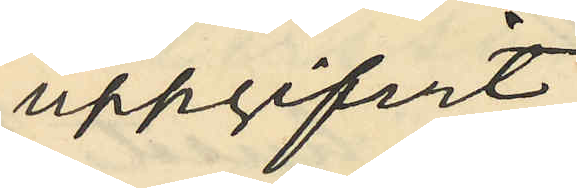uppgifvit;
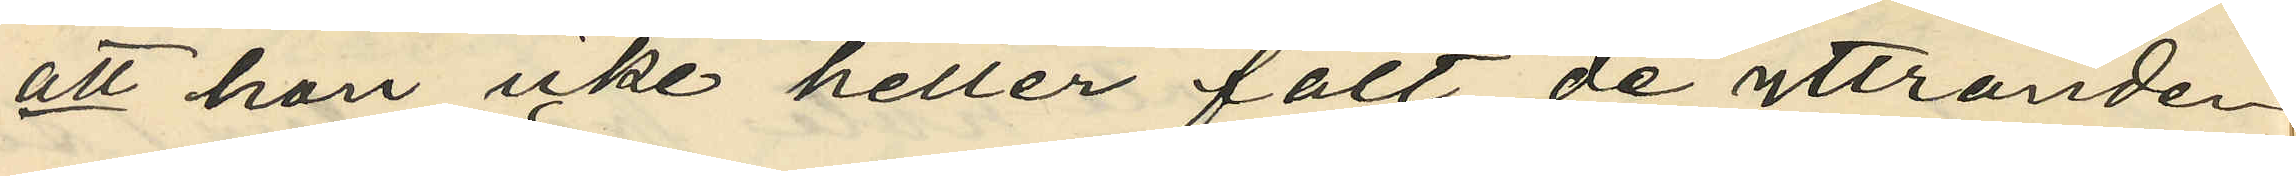att hon icke heller fått de yttranden
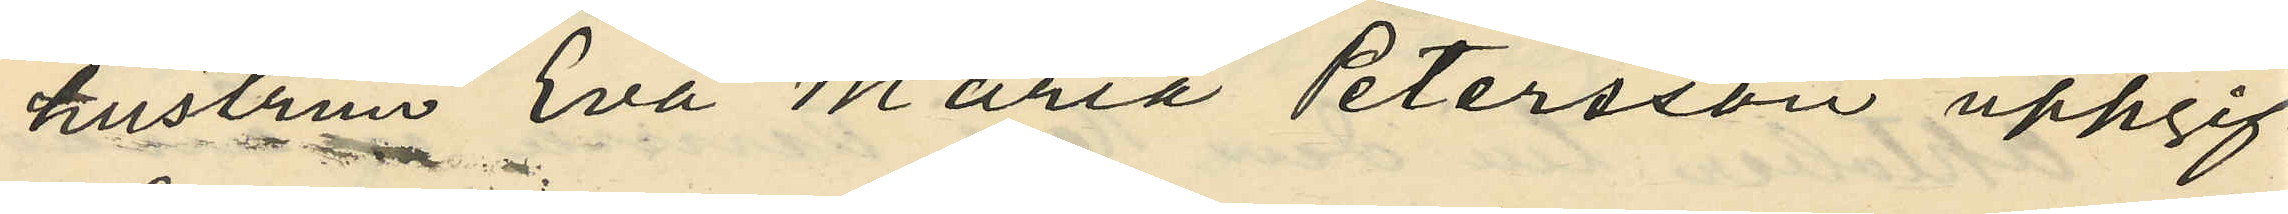hustrun Eva Maria Petersson uppgif¬
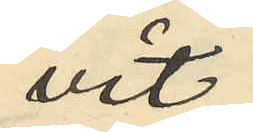vit;
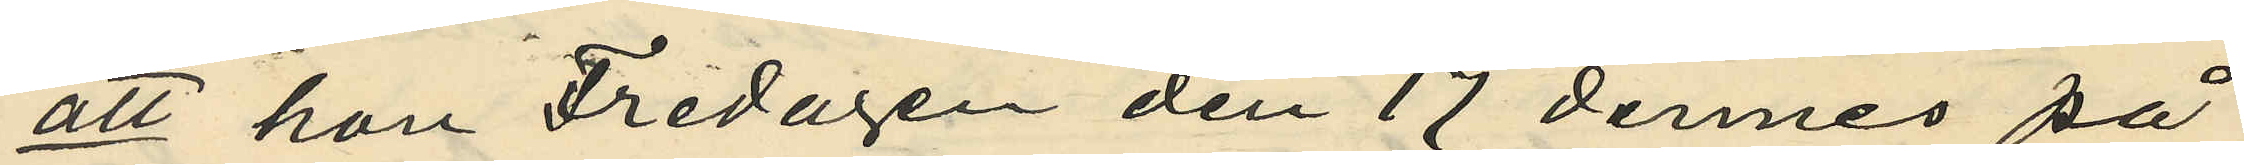att hon Fredagen den 17 dennes på
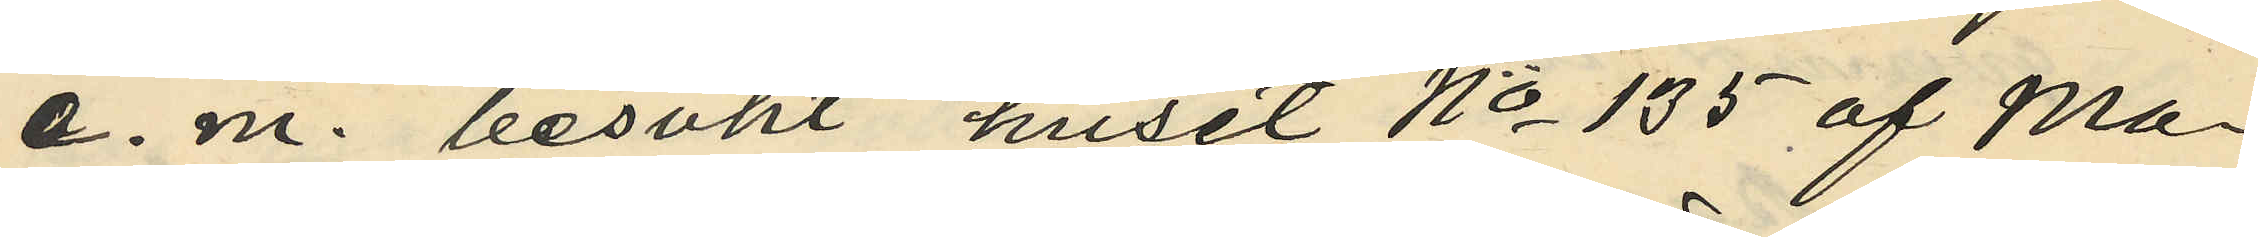e. m. besökt huset No 135 af Ma¬
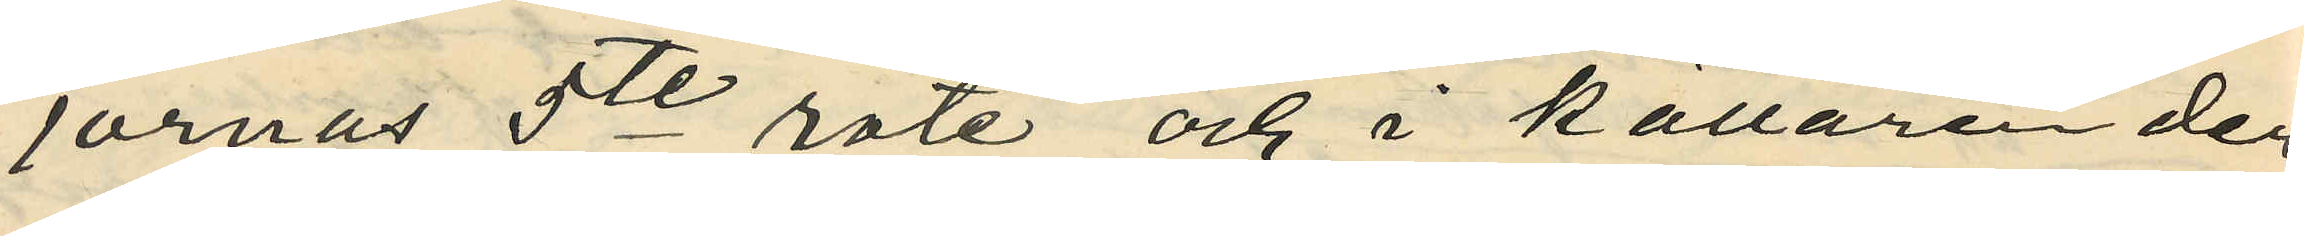jornas 5te rote och i källaren der
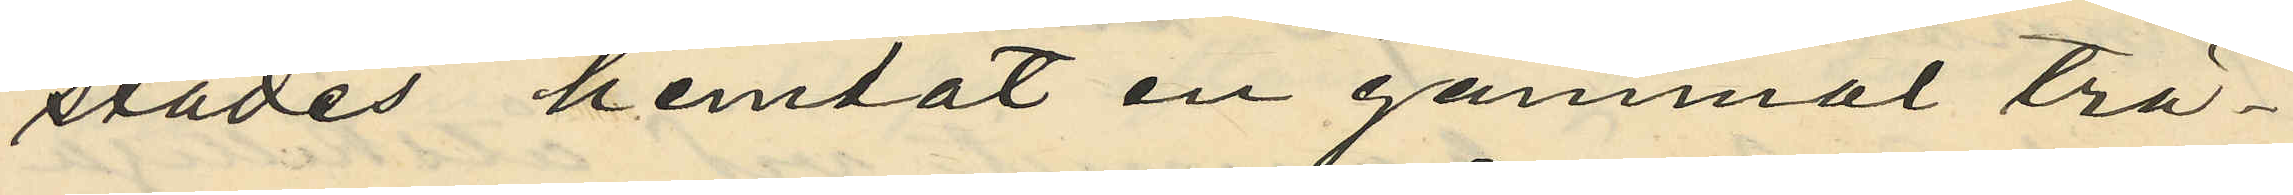städes hemtat en gammal trä¬
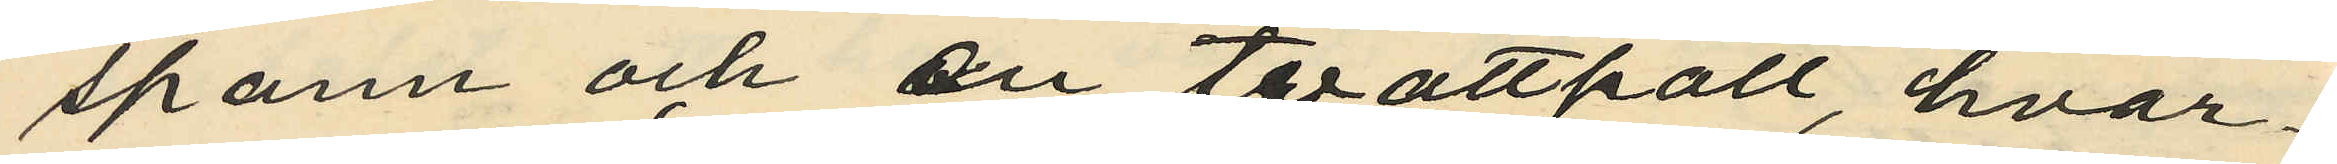spann och en tvättpall, hvar¬
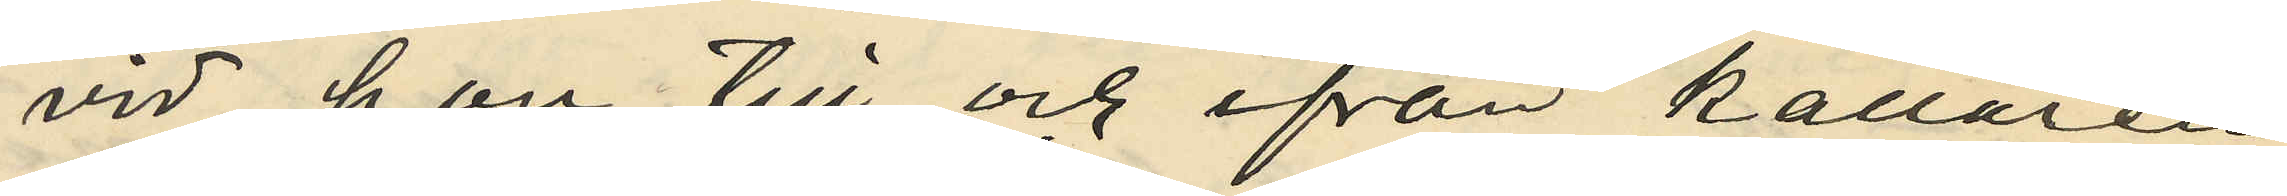vid hon till och ifrån källaren
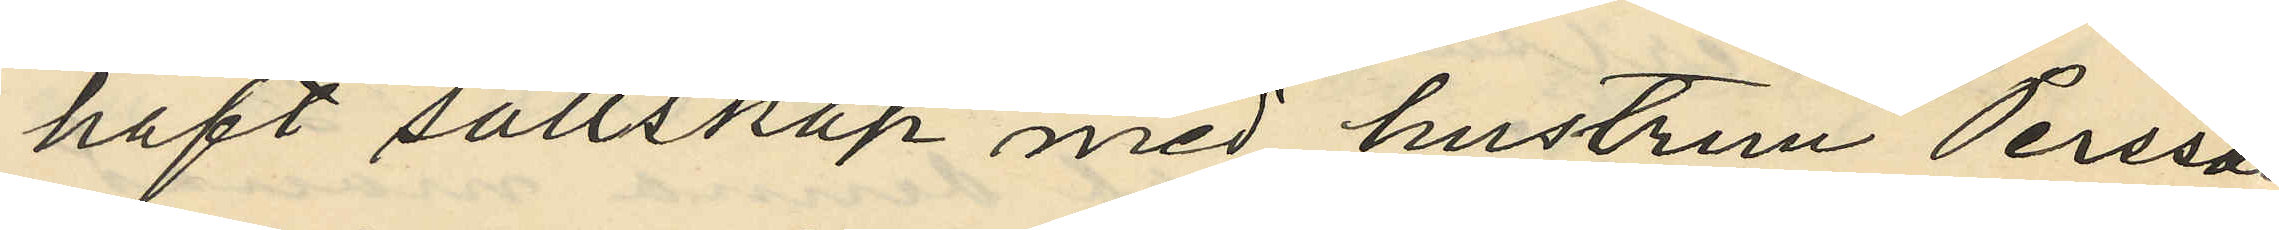haft sällskap med hustrun Persson;
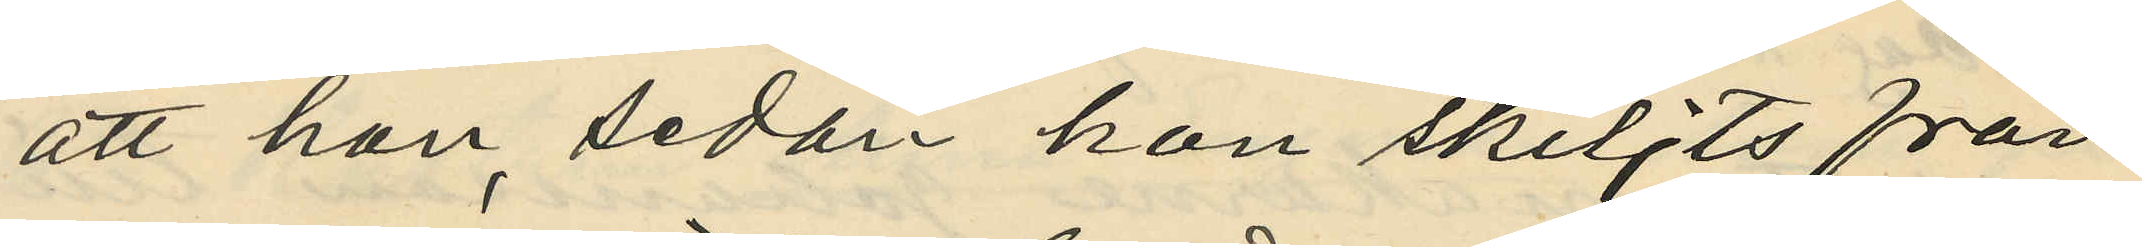att hon, sedan hon skiljts från
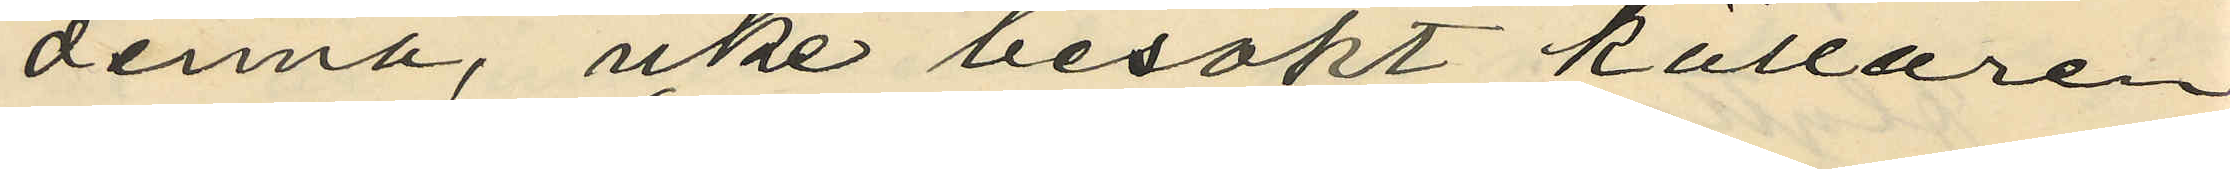denna, icke besökt källaren
